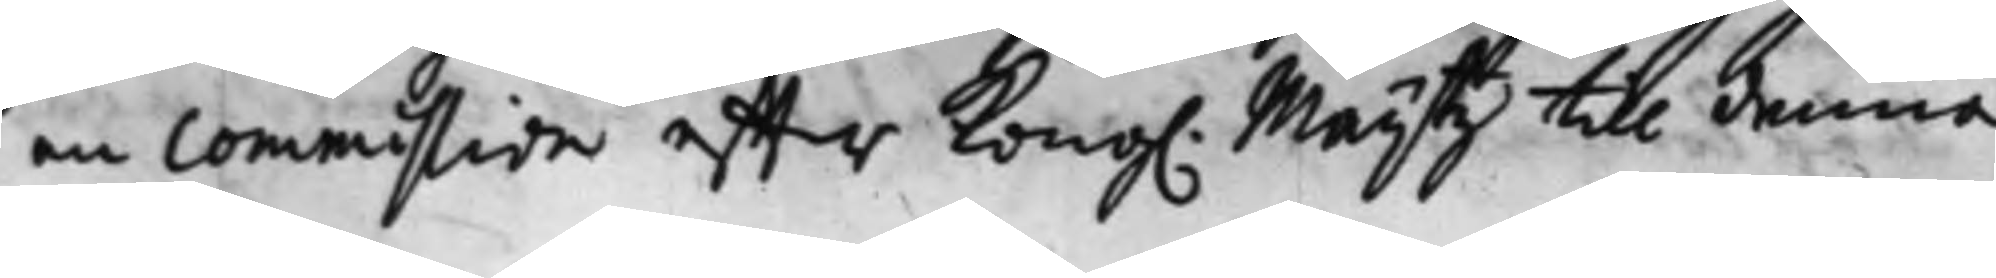en commistion effter Kong. Maij.tz till denna 
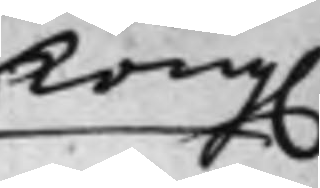Kong. 
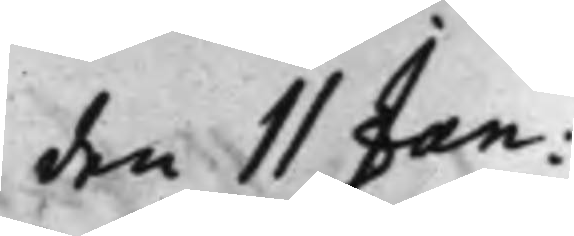den 11 Jan:
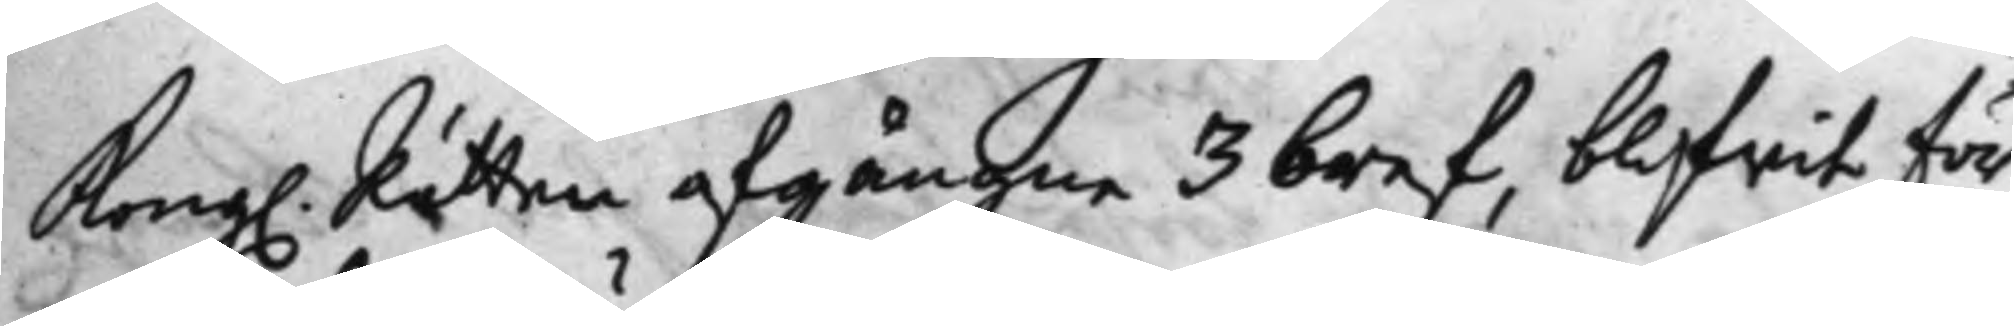Kong. Rätten afgångne 3 bref, blifwit för¬
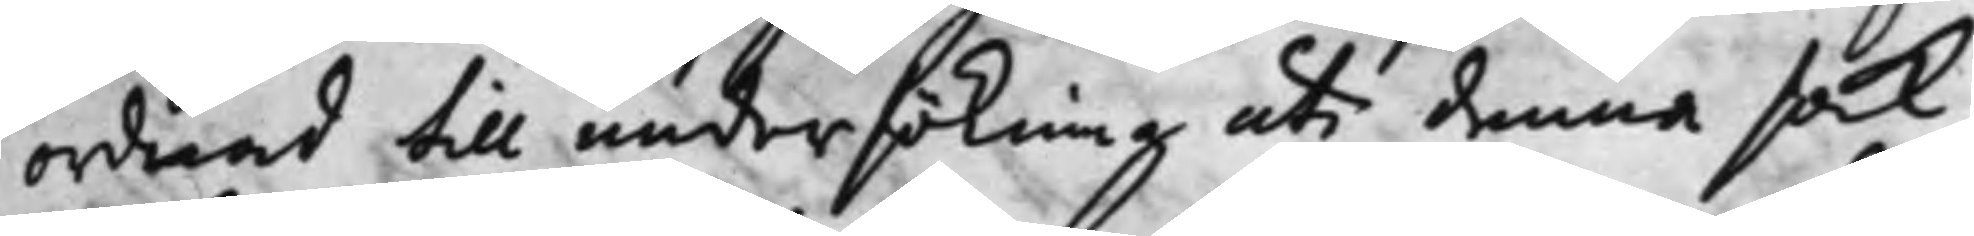ordnad till undersökning uti denna sak,
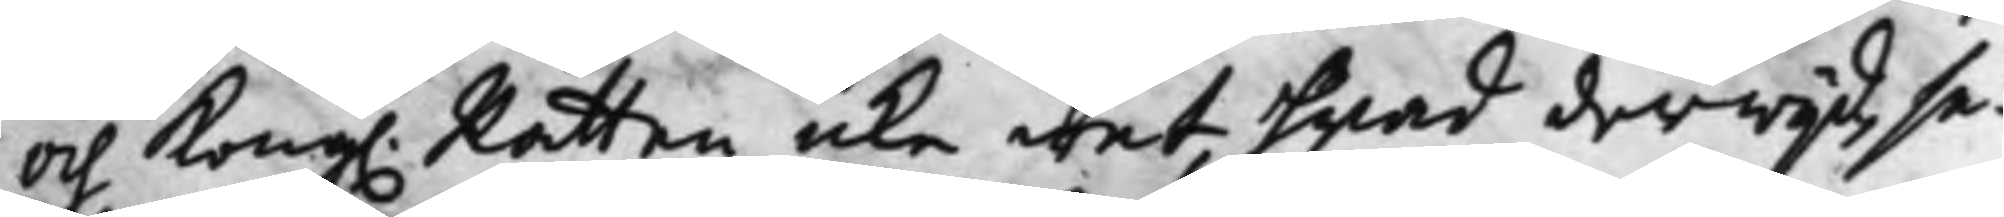och Kong. Rätten icke wet, hwad derwijd, se¬ 
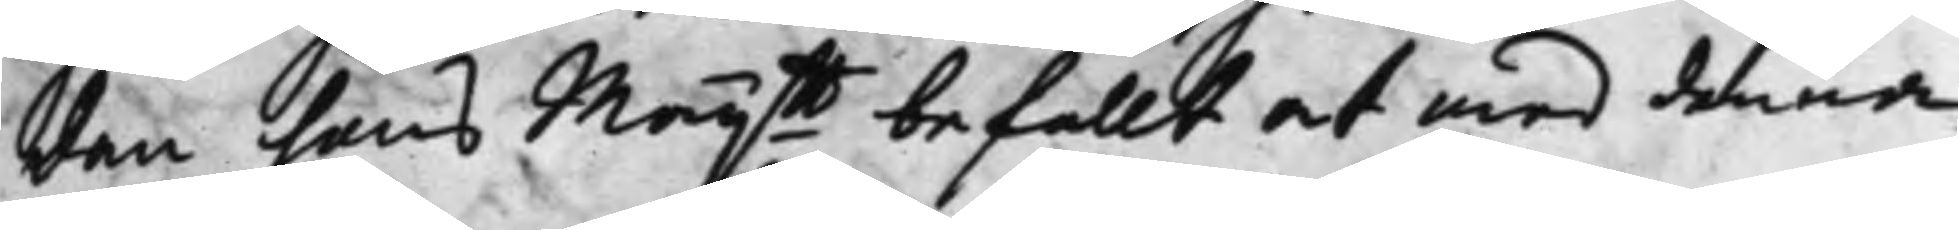dan hans Maij:tt befallt at med denna 
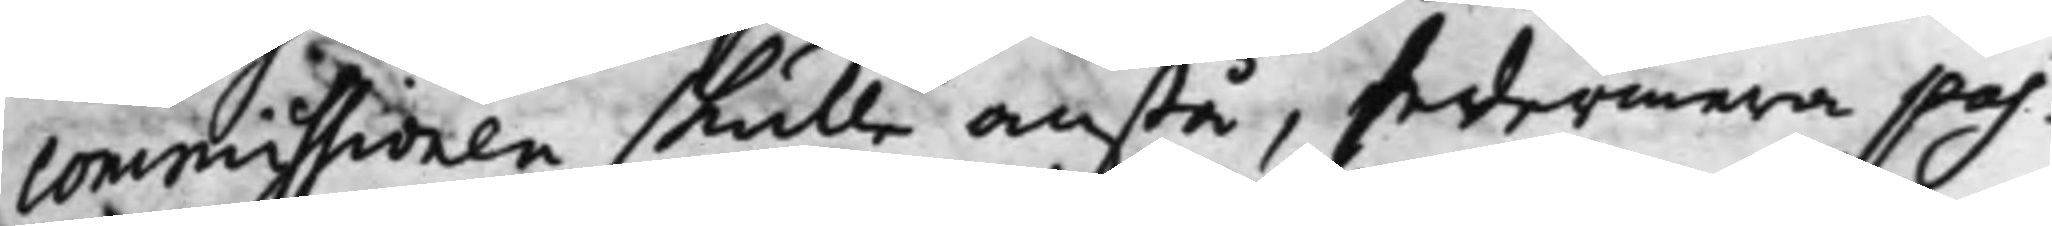commiissionen skulle anstå, sedermera pas¬
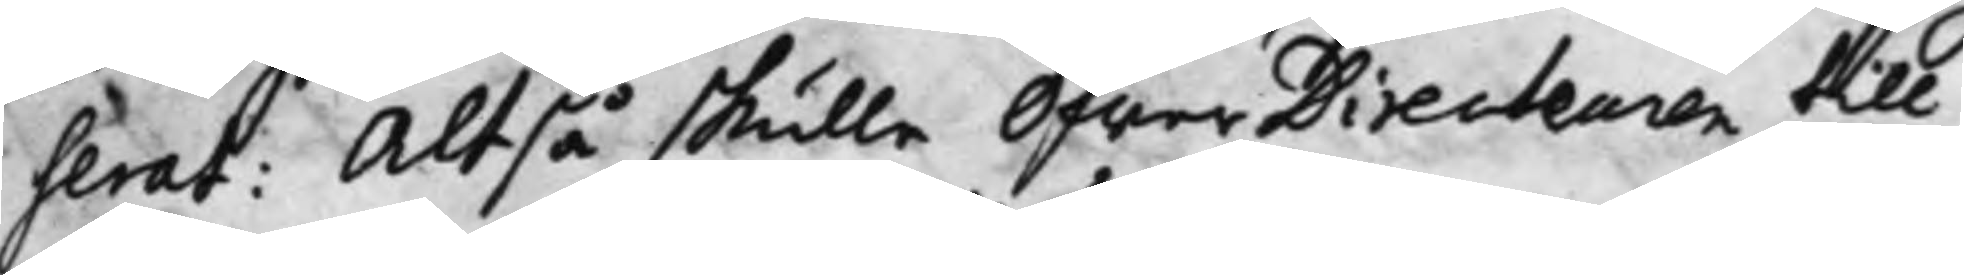serat. Altså skulle Öfwer Directeuren till
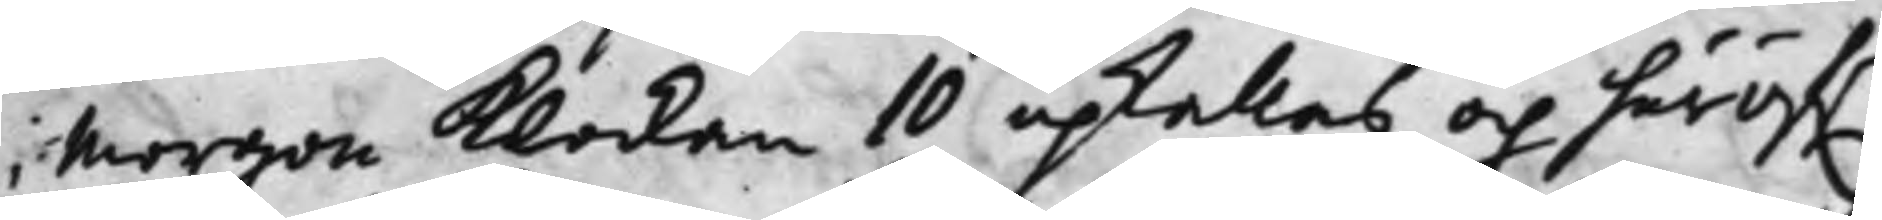i Morgon Klockan 10 upkallas och häröf.r
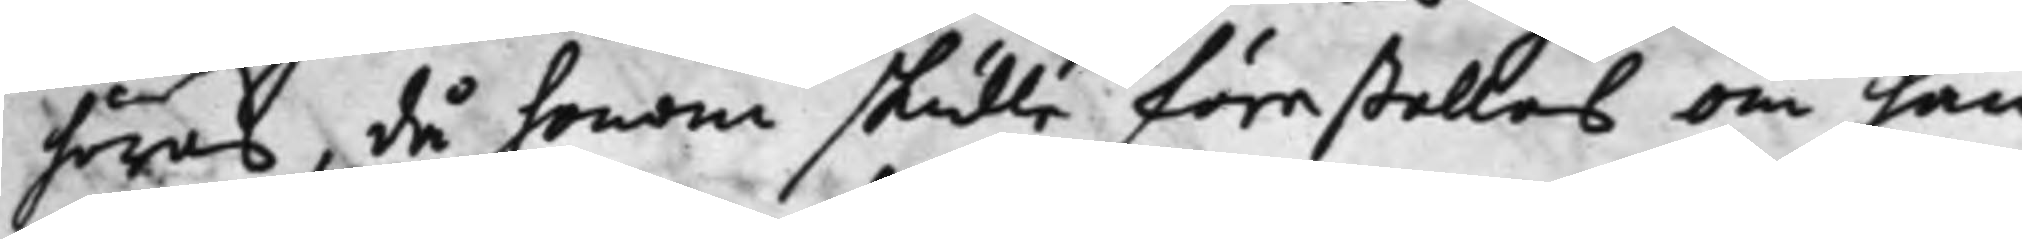höras, då honom skulle förestellas om han
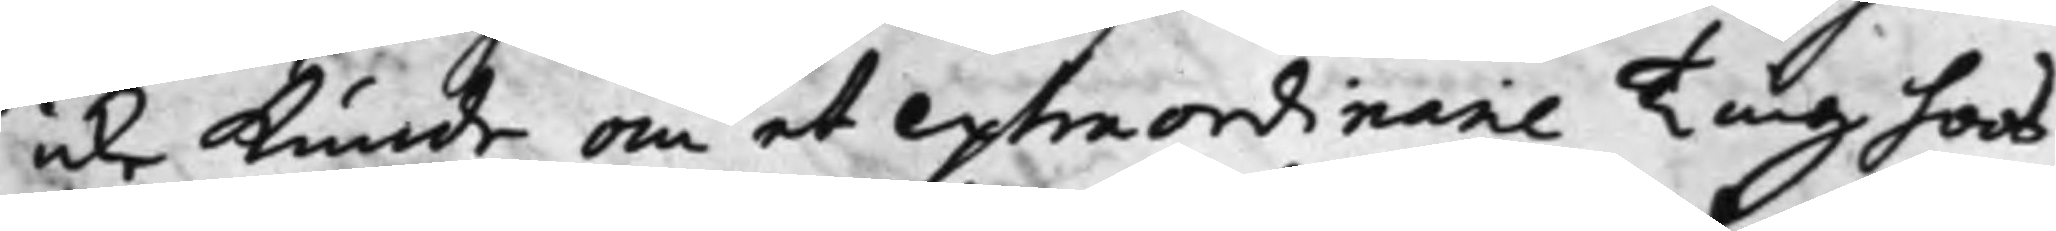icke Kunde om et extraordinarie Ting hoos
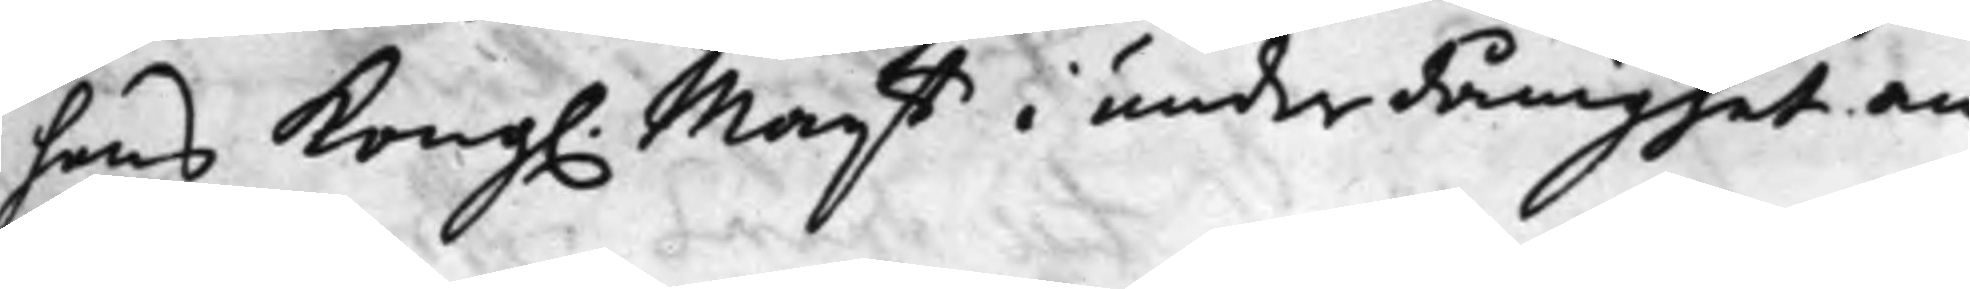hans Kongl. Maij:tt i underdånighet an¬
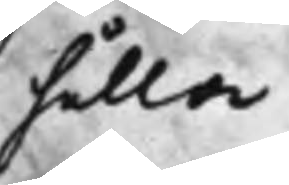hålla.
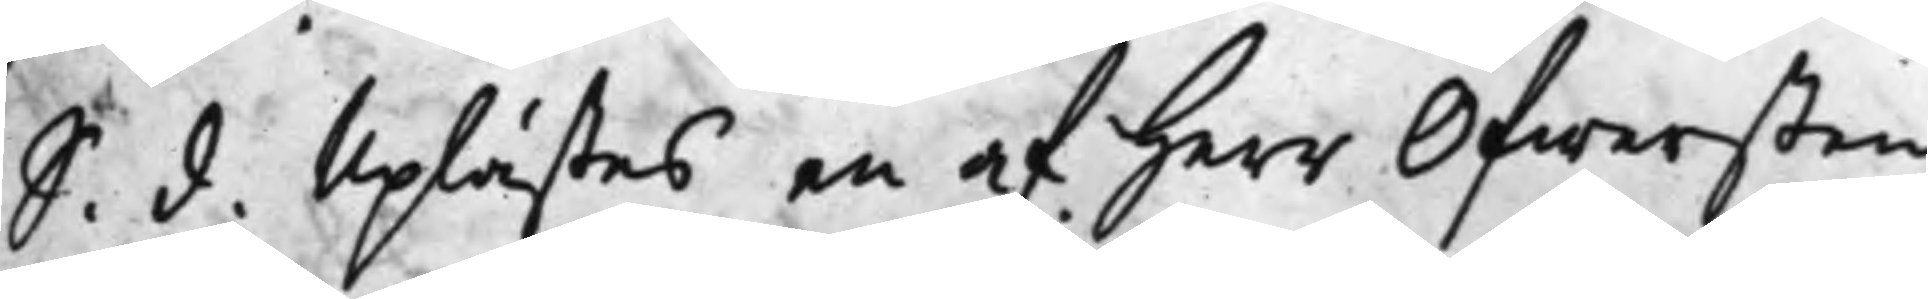S. d. Uplästes en af Herr Öfwersten 
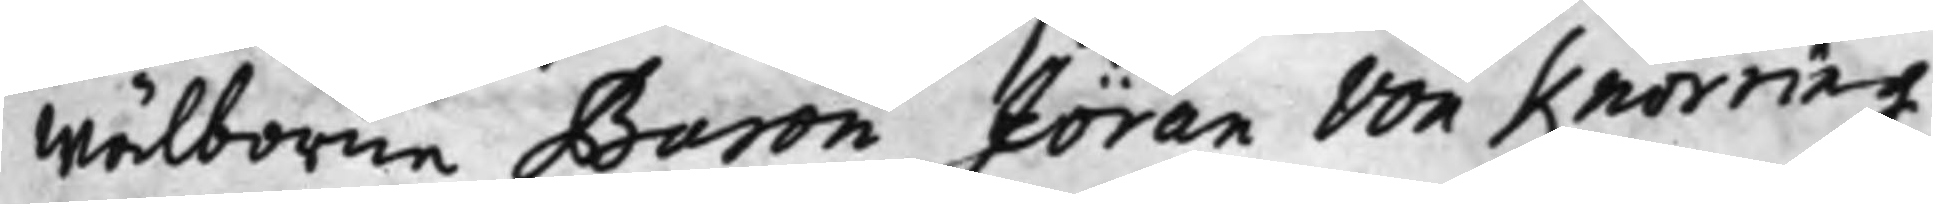Wälborne Baron Jöran von Knorring
